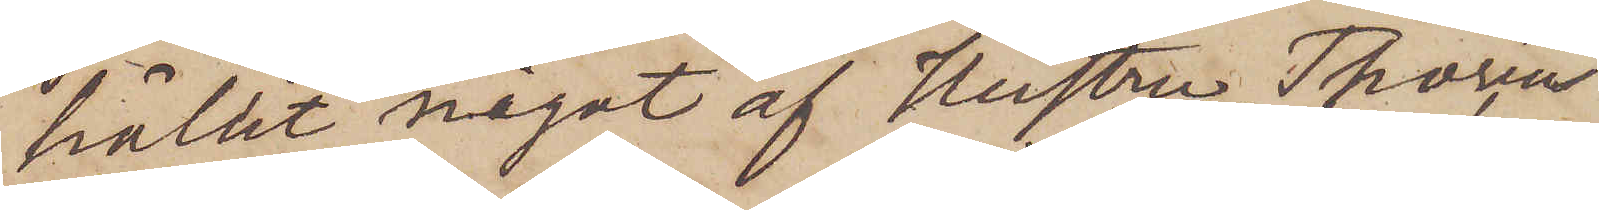hållit något af Hustru Thoréns
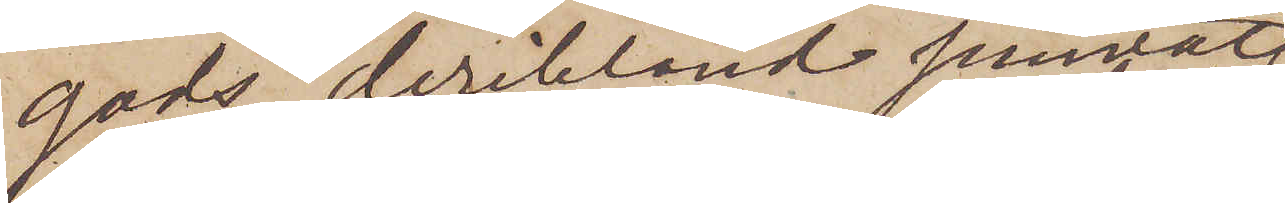gods, deribland jemväl
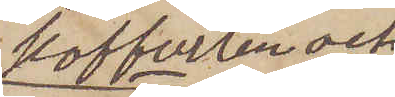kofferten och
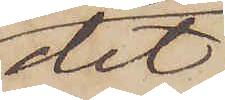det,
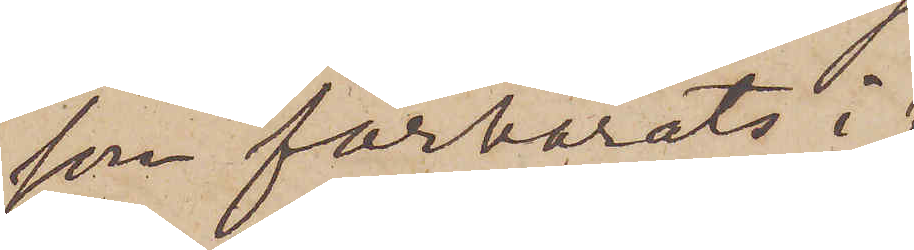son förvarats i
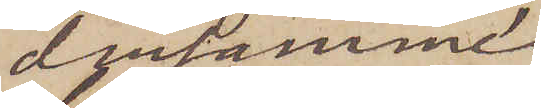densamme;
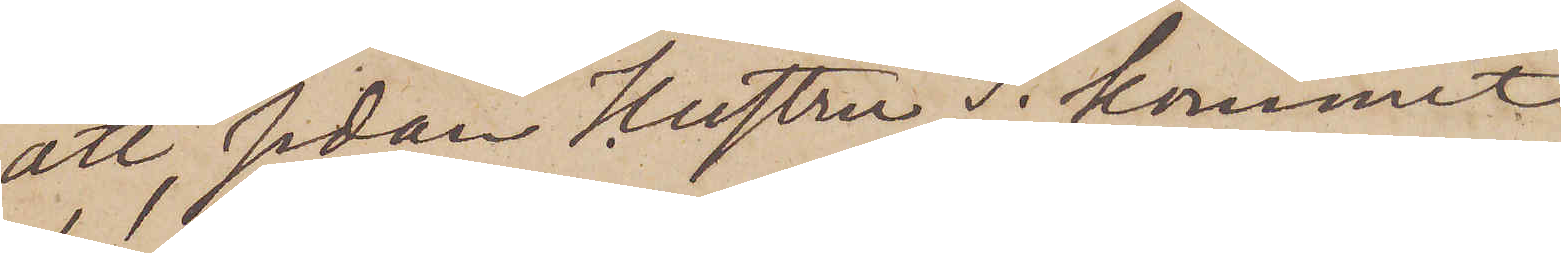att sedan Hustru T  kommit
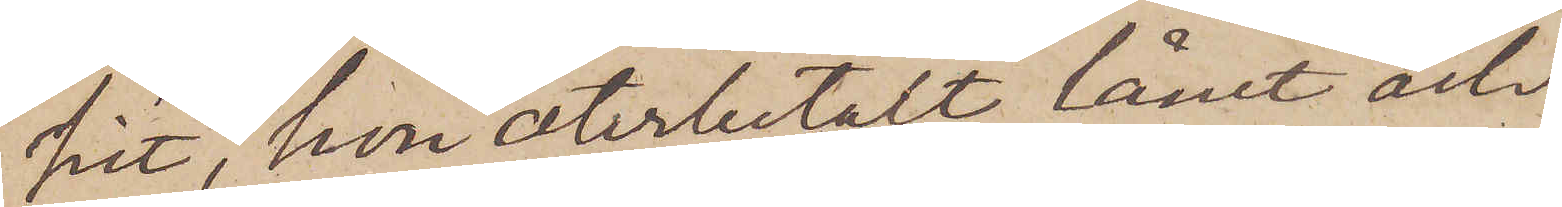hit, hon återbetalt lånet och
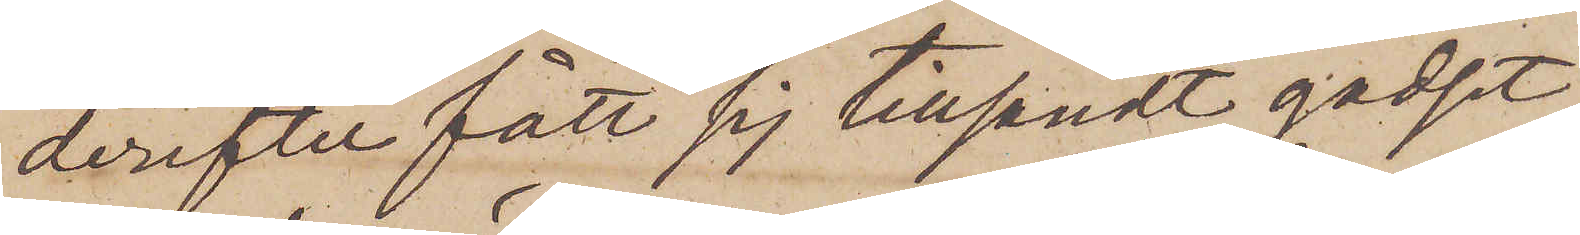derefter fått sig tillsändt godset;
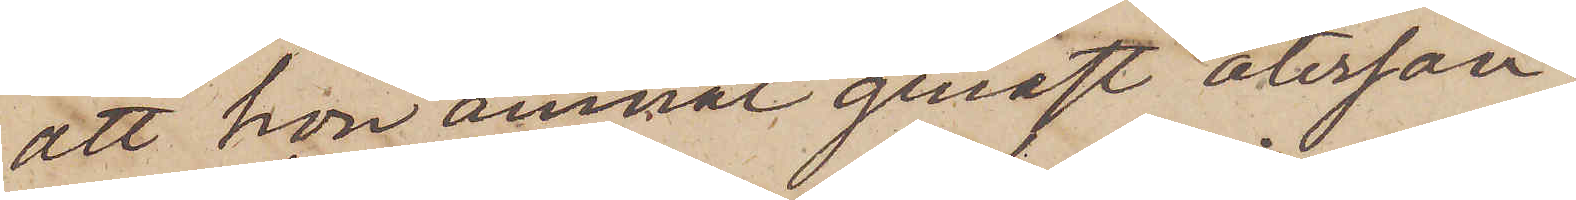att hon ämnat genast återsän¬
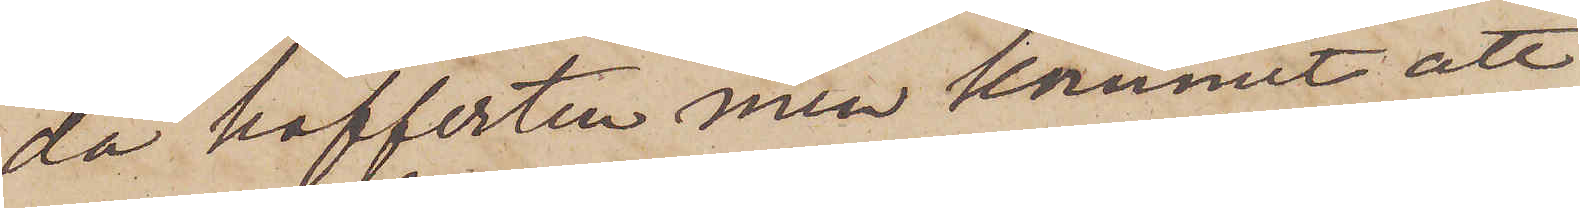da kofferten men kommit att
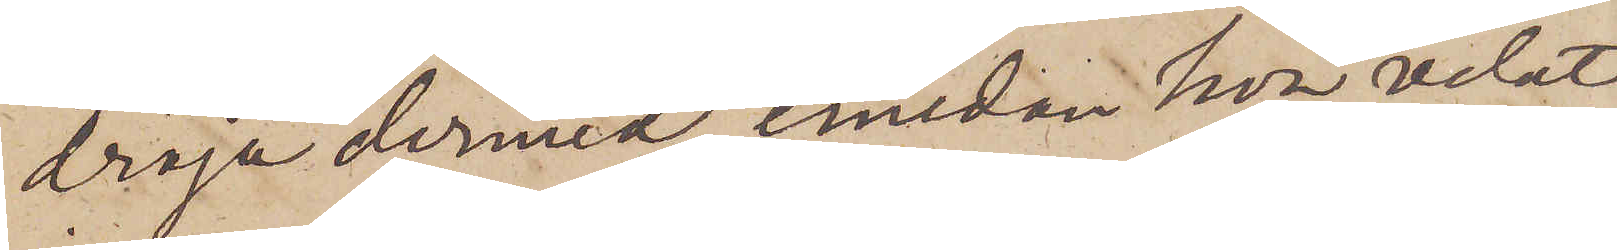dröja dermed, emedan hon velat
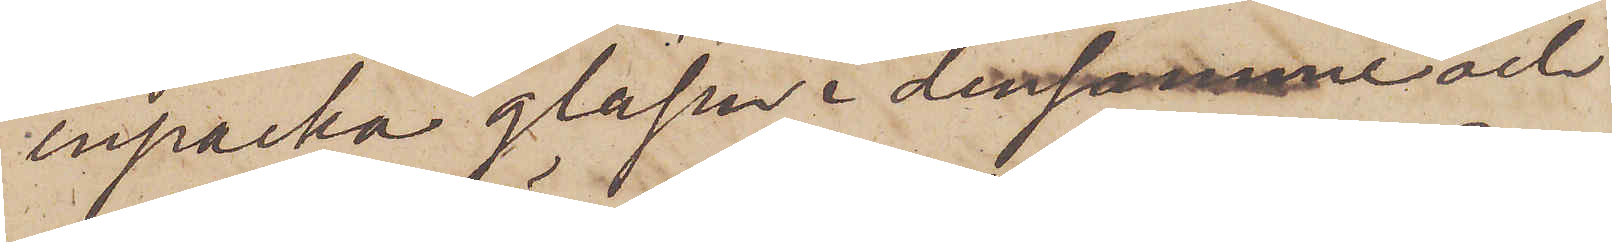inpacka glasen i densamme och
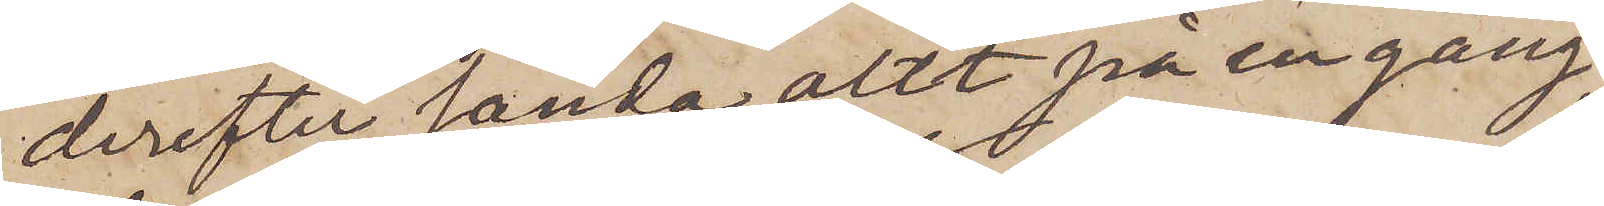derefter sända allt på en gång,
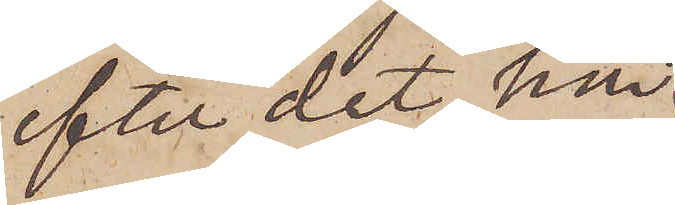efter det hon
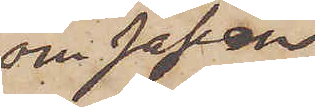och Johan
